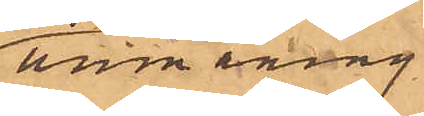ammaning
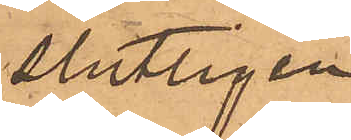slutligen
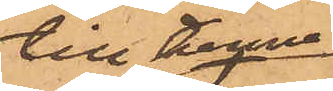till henne
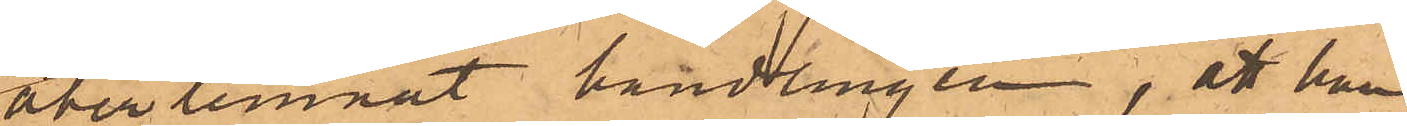åter lemnat handlingen; att han
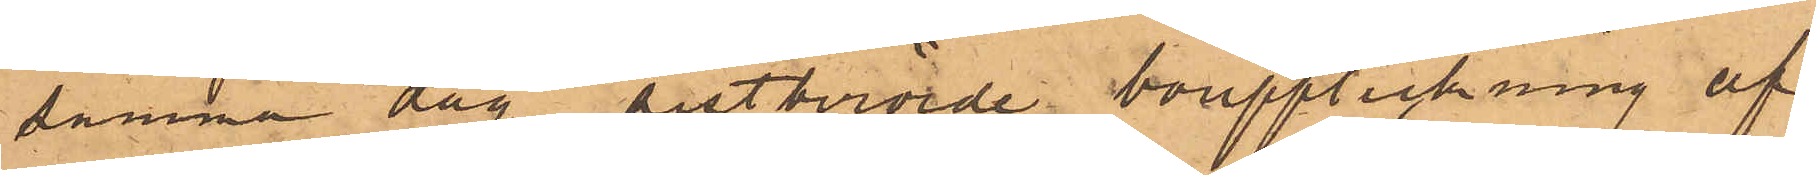samma dag sistberörde bouppteckning af
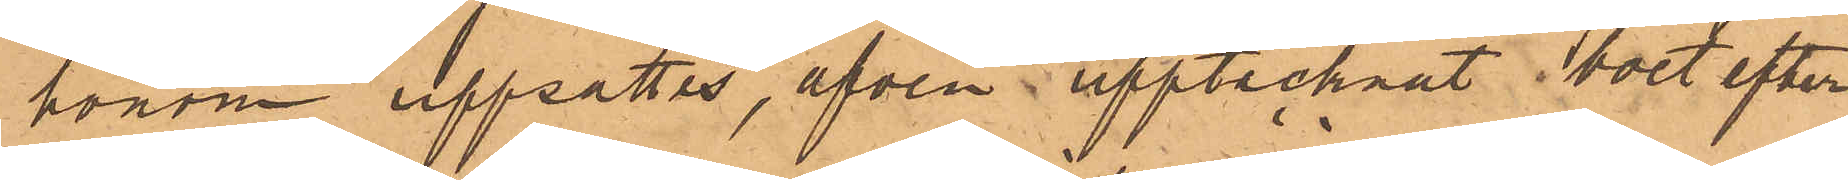honom uppsättas, äfven upptecknat bort efter
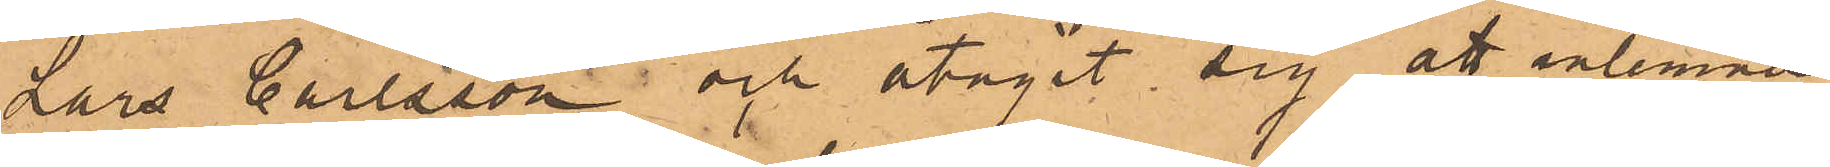Lars Carlsson och åtagit sig att inlemna
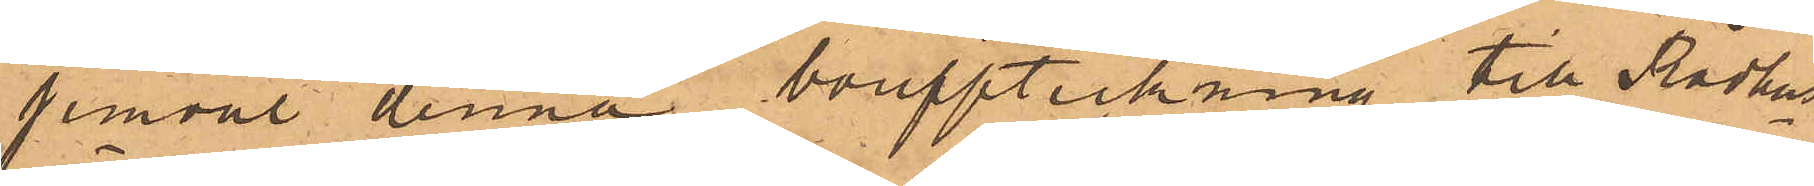jemväl denna bouppteckning till Rådhus¬
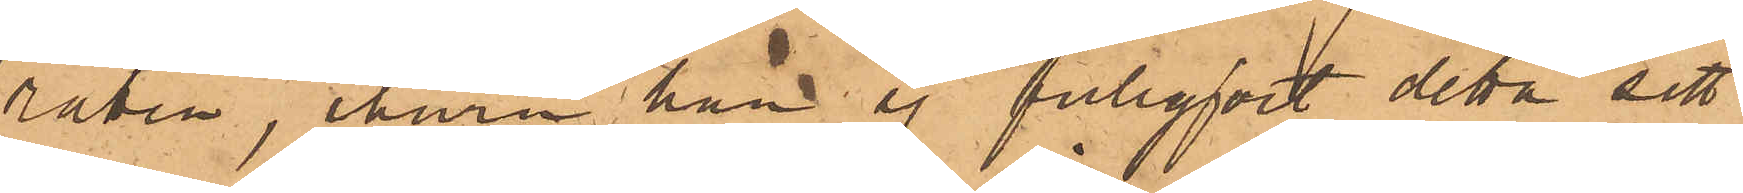raden, ehuru han ej fullgjort detta sitt
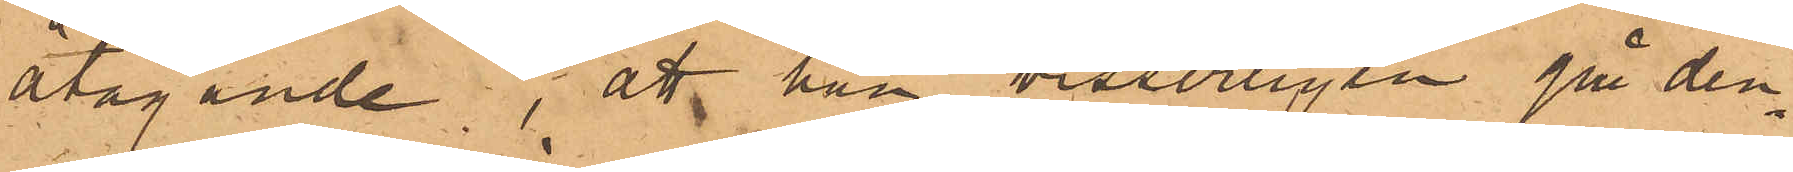åtagande; att han visserligen på den¬
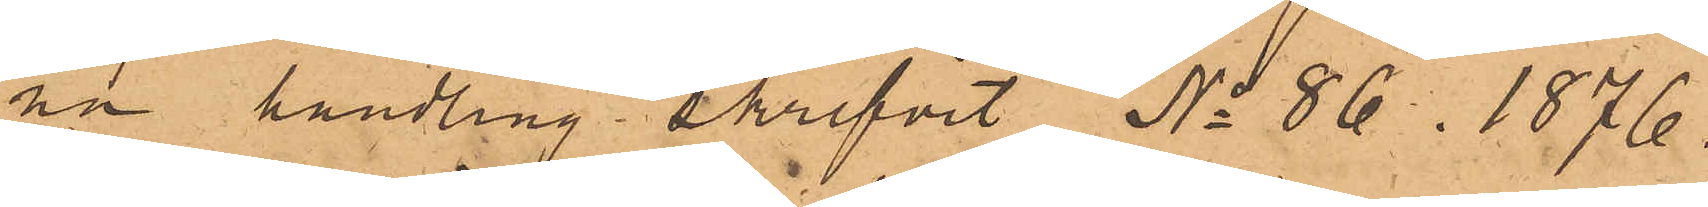na handling skrifvit "No 86. 1876."
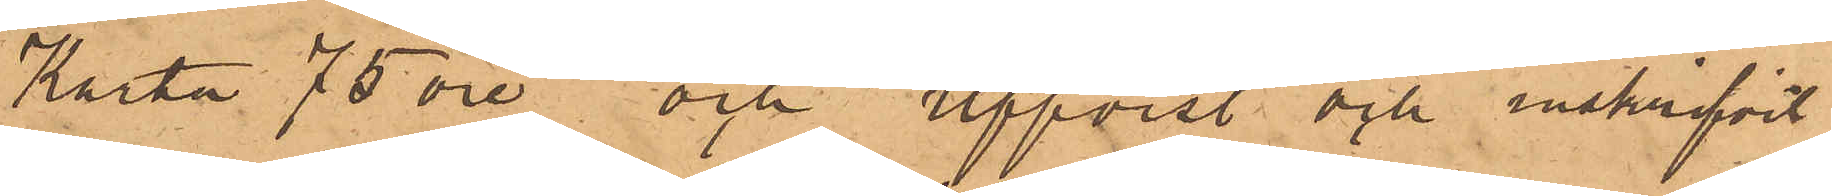"Karta 75 öre" och "uppvist och inskrifvit
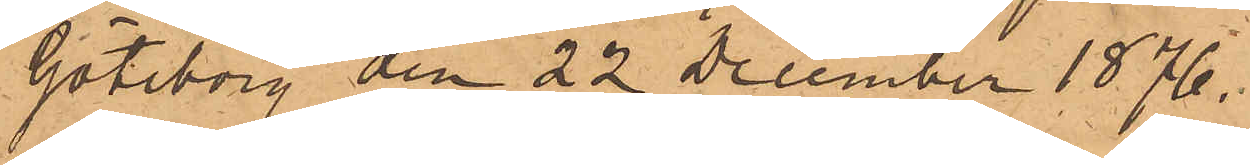Göteborg den 22 December 1876.
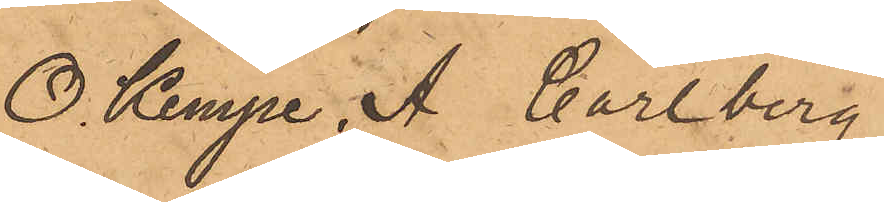O. Kempe, A. Carlberg"
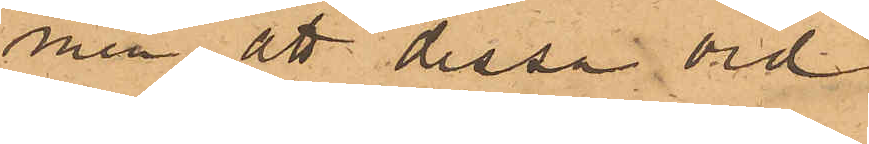men att dessa ord
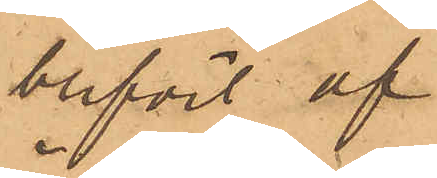blifvit af
